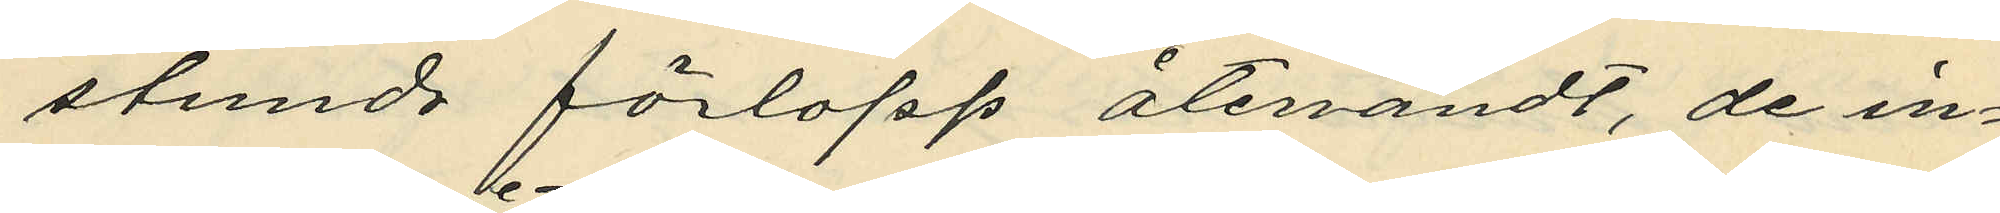stunds förlopp återvändt, de in¬
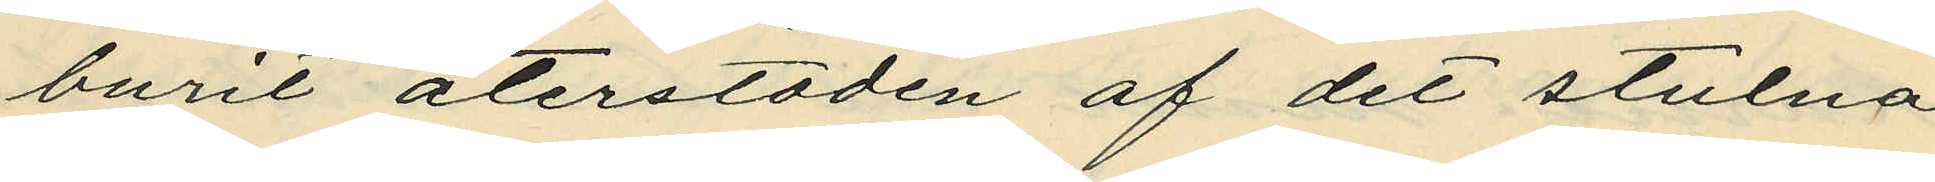burit återstoden af det stulna
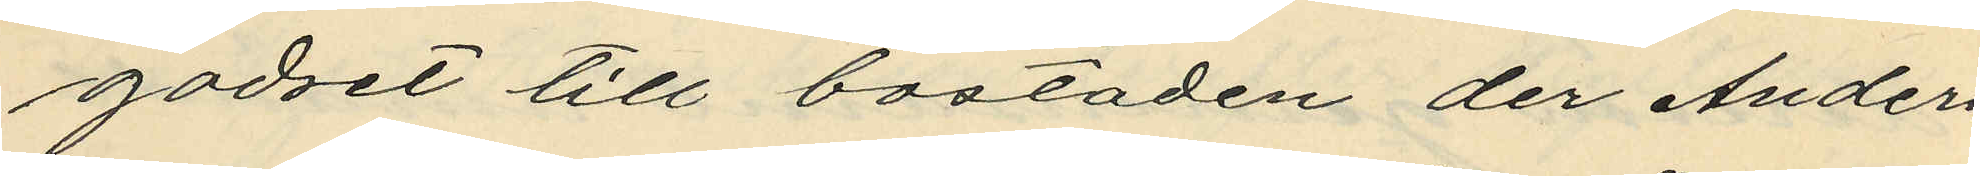godset till bostaden der Anders¬
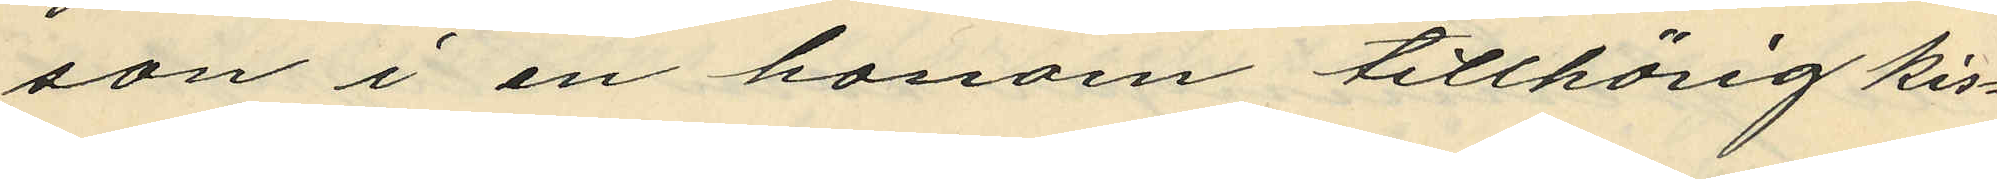son i en honom tillhörig kis¬
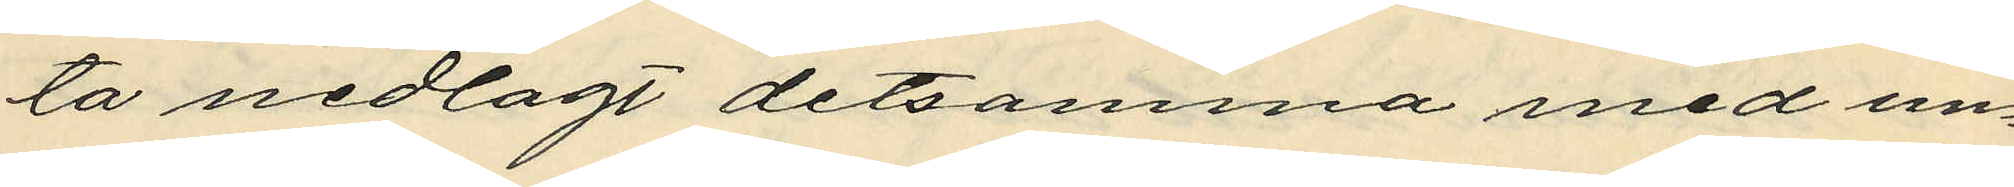ta nedlagt detsamma med un¬
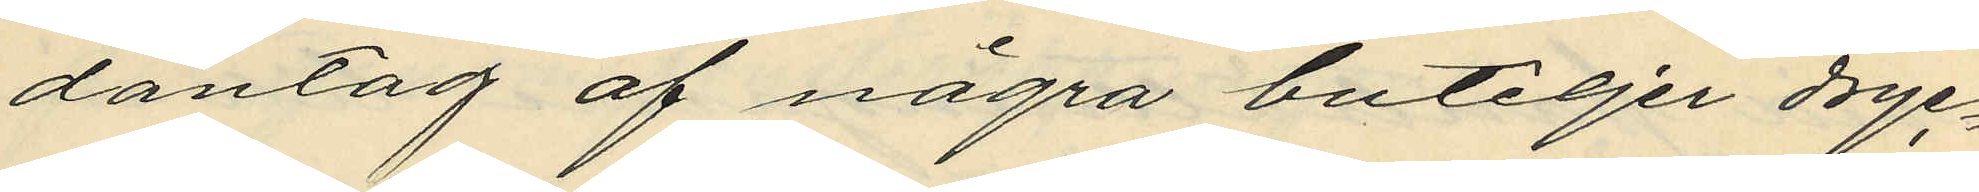dantag af några buteljer dryc¬
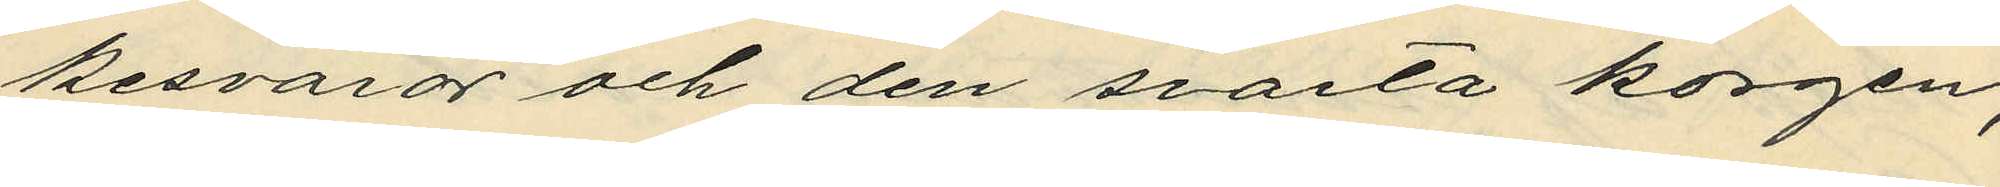kesvaror och den svarta korgen,
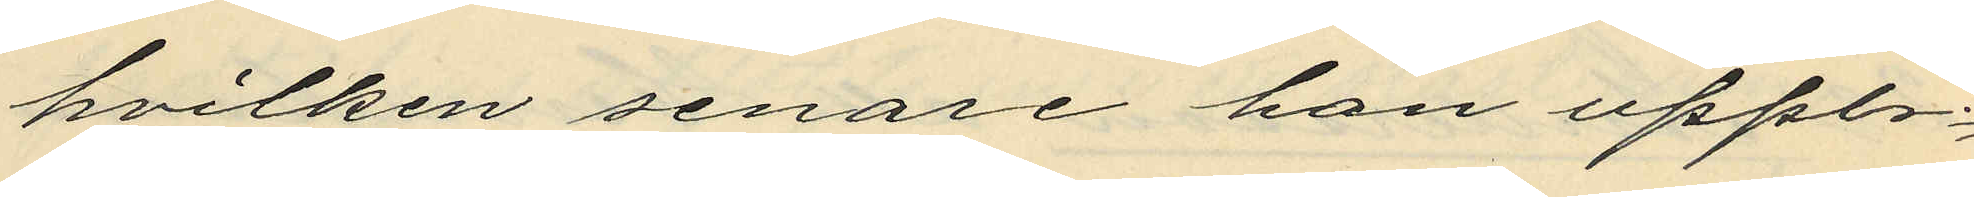hvilken senare han upp¬
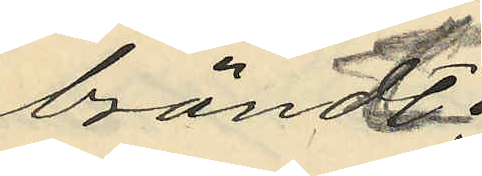brändt;
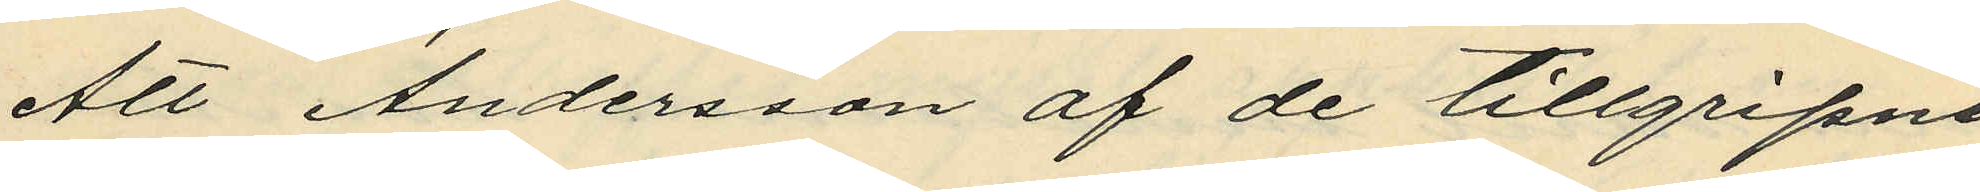Att Andersson af de tillgripne
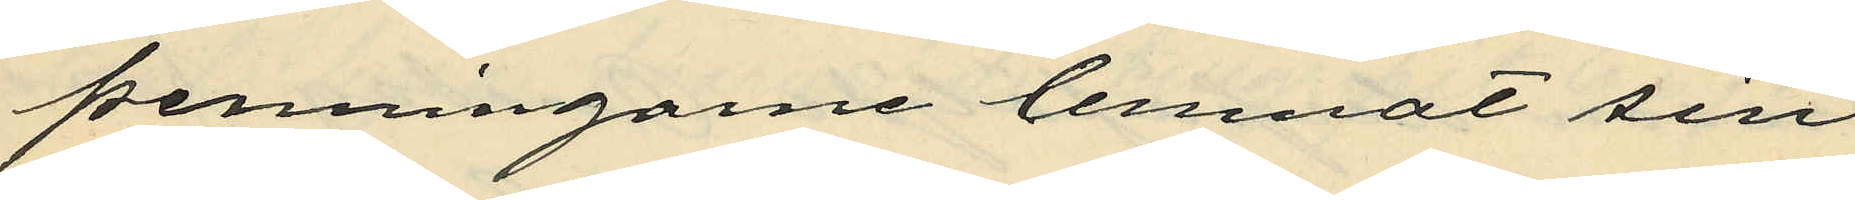penningarne lemnat sin
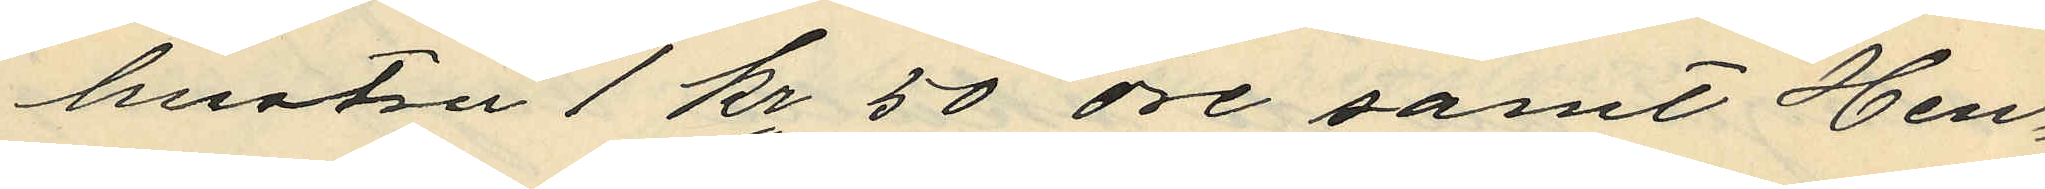hustru 1 kr 50 öre samt Hen¬
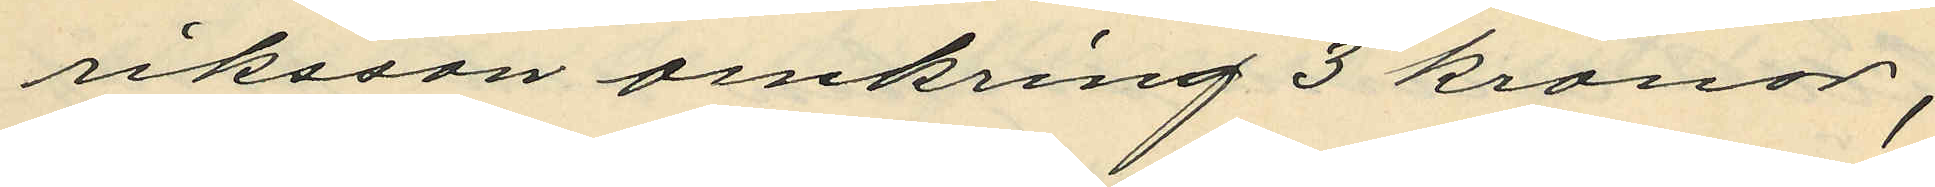riksson omkring 3 kronor;
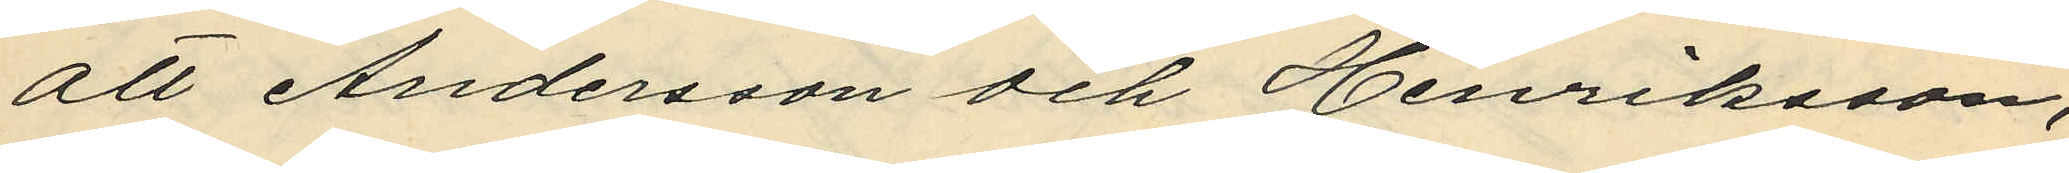att Andersson och Henriksson,
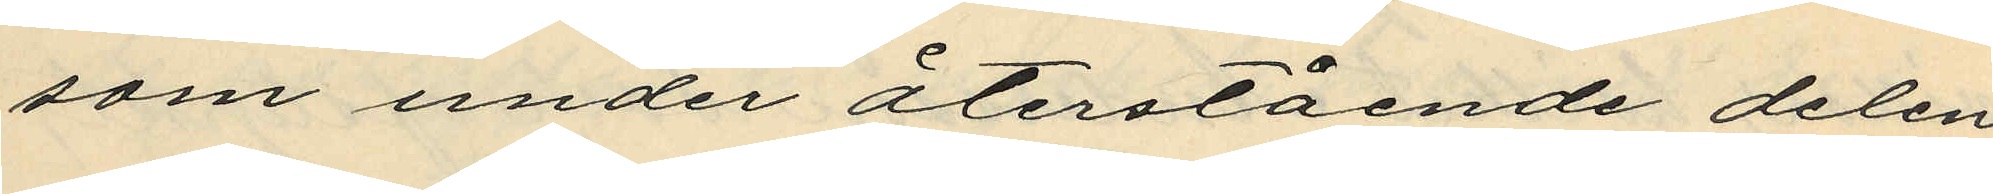som under återstående delen
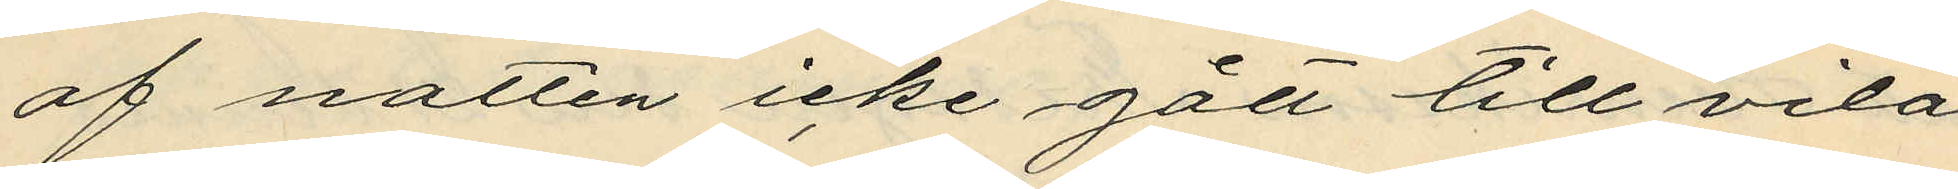af natten icke gått till vila
